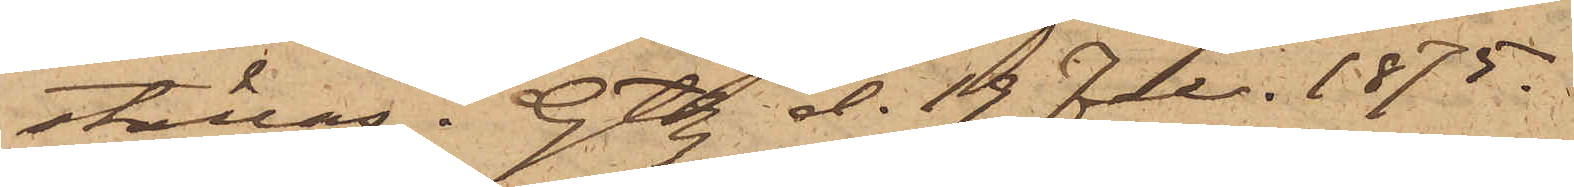ställas. Gtbg d. 19 Febr. 1875.
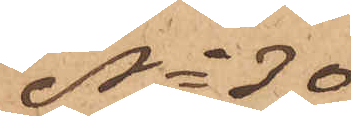No 30
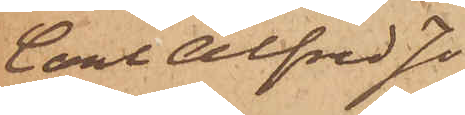Carl Alfred Jo¬
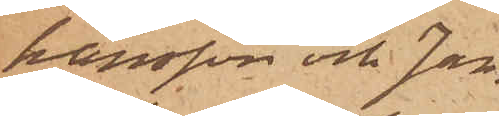hansson och Jan¬
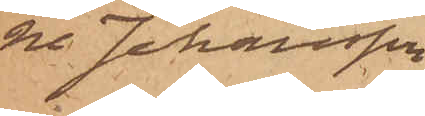ne Johansson
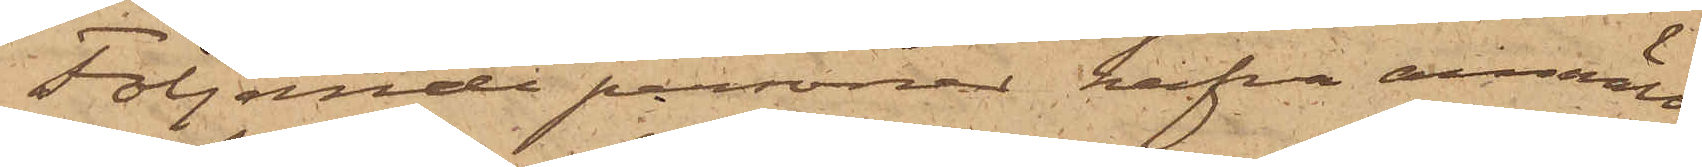Följande personer hafva anmält:
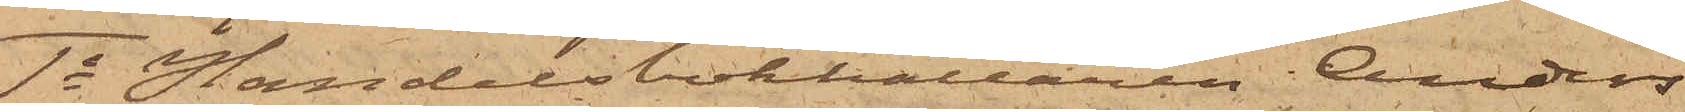1o Handelsbokhållaren Anders
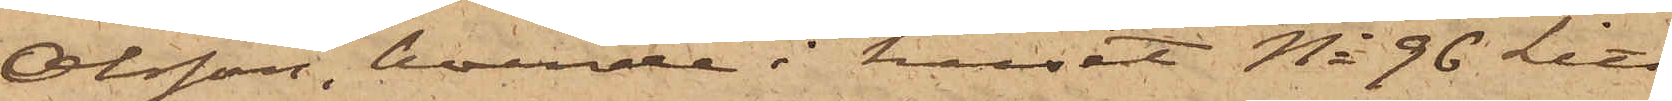Olsson, boende i huset No 96 Litt
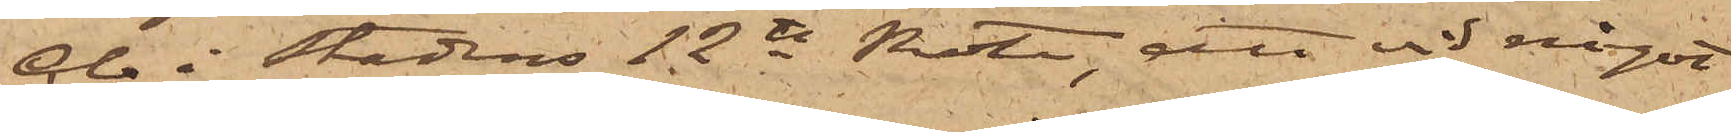Cb i Stadens 12te Rote, att vid något
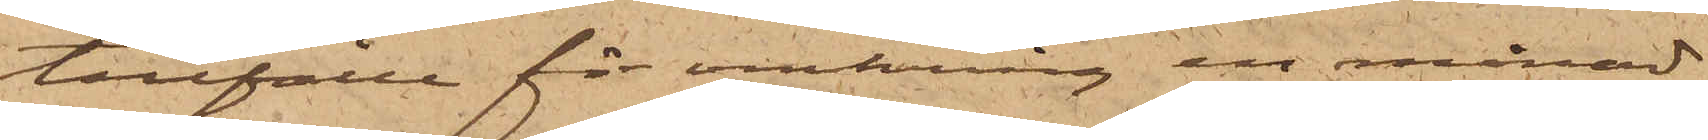tillfälle för omkring en månad
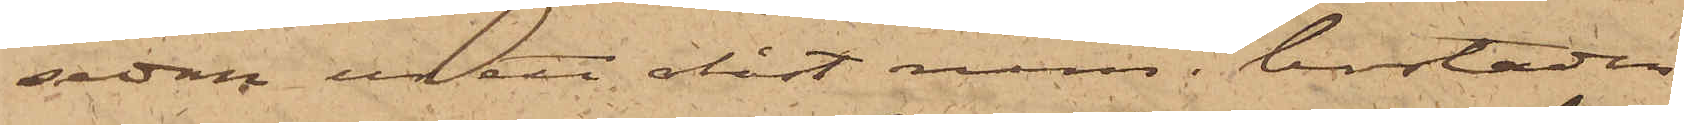sedan ur ett olåst rum i bostaden
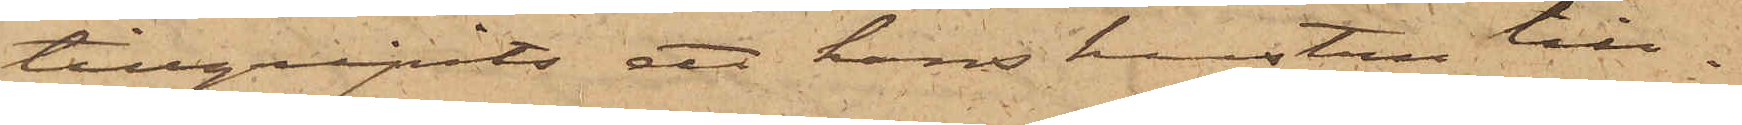tillgripits ett hans hustru till¬
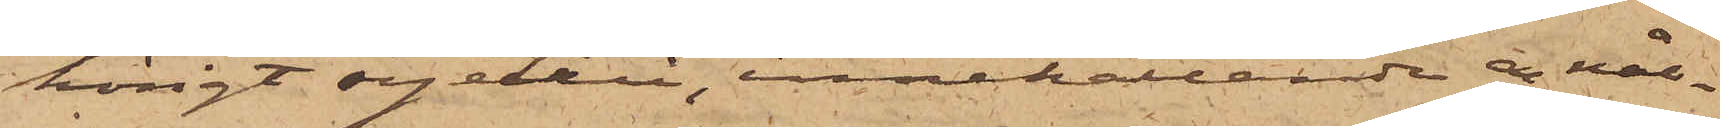hörigt syetui, innehållande en nål¬
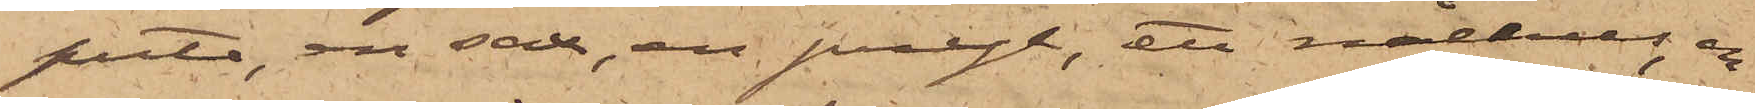puta, en sax, en pryl, ett nålhus, en
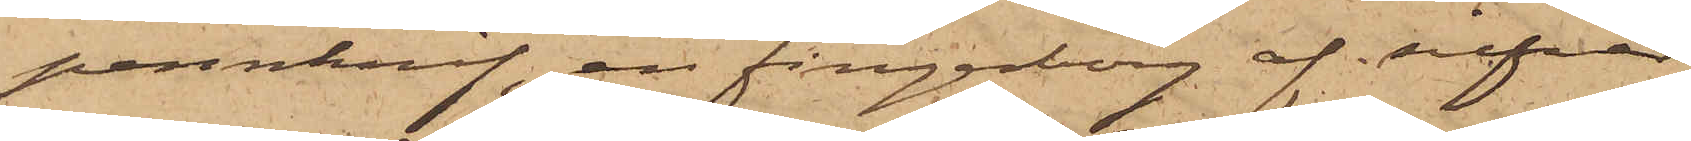pennknif, en fingerborg af silfver
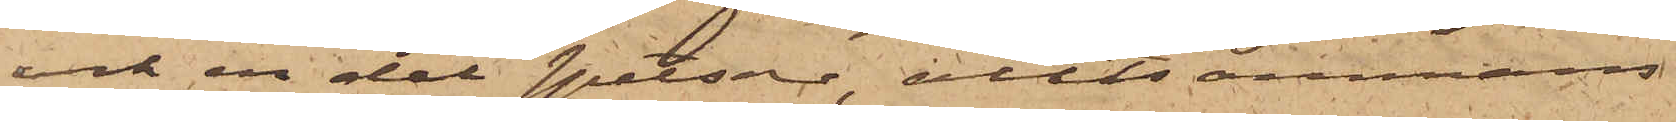och en del spetsar, alltsammans
